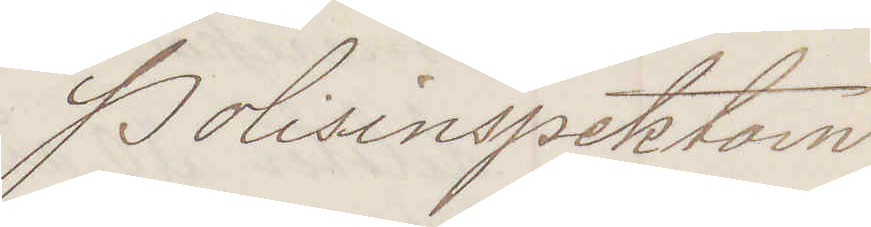Polisinspektorn
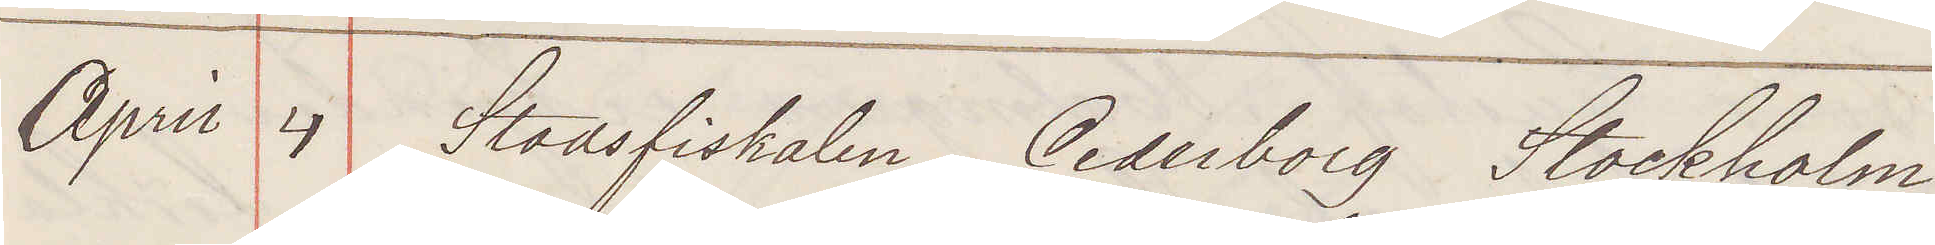April 4 Stadsfiskalen Cederborg Stockholm
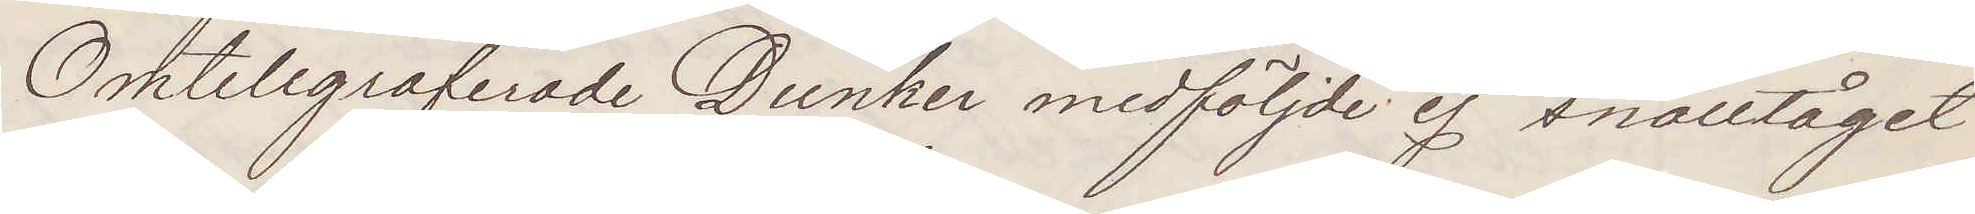Omtelegraferade Dunker medföljde ej snälltåget
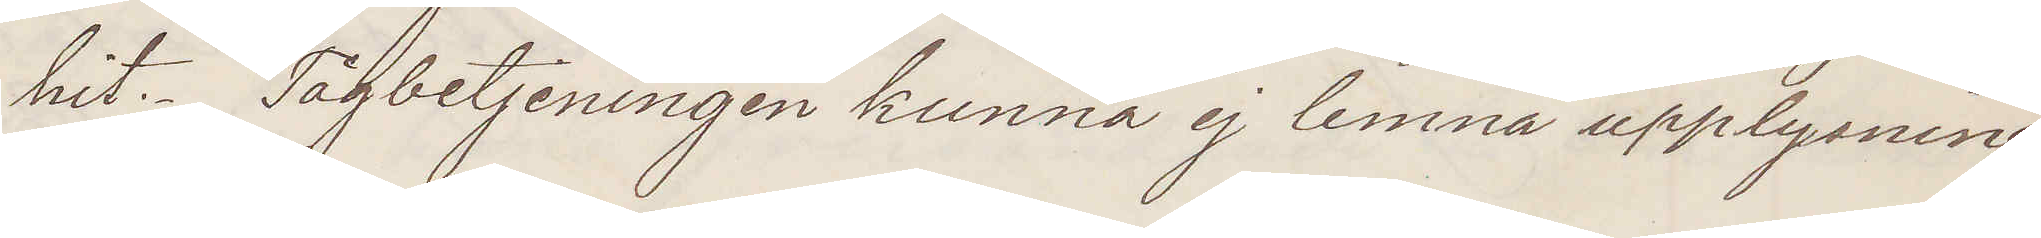hit. Tågbetjeningen kunna ej lemna upplysning
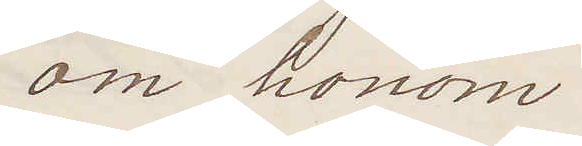om honom.
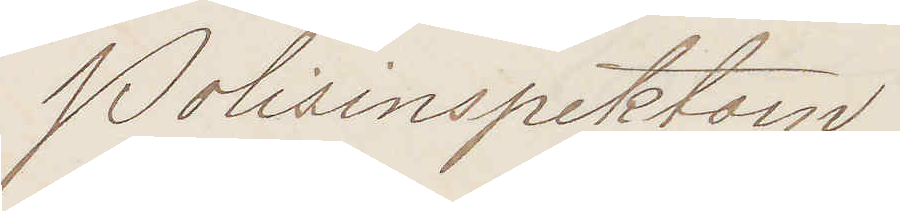Polisinspektorn
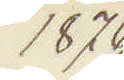1876
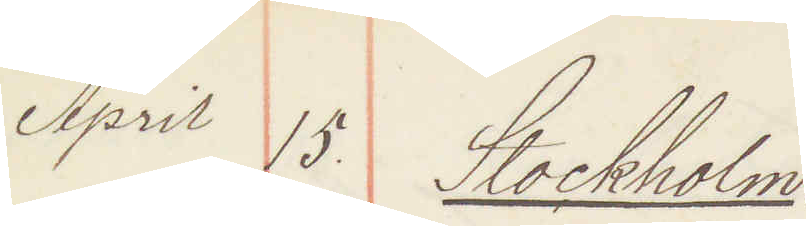April 15. Stockholm
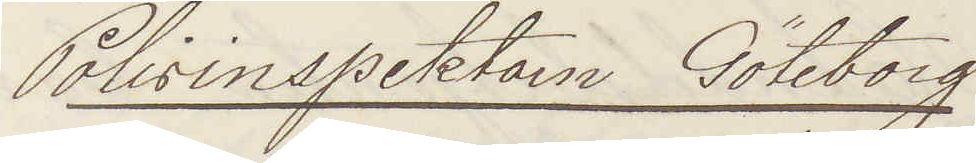Polisinspektorn Göteborg
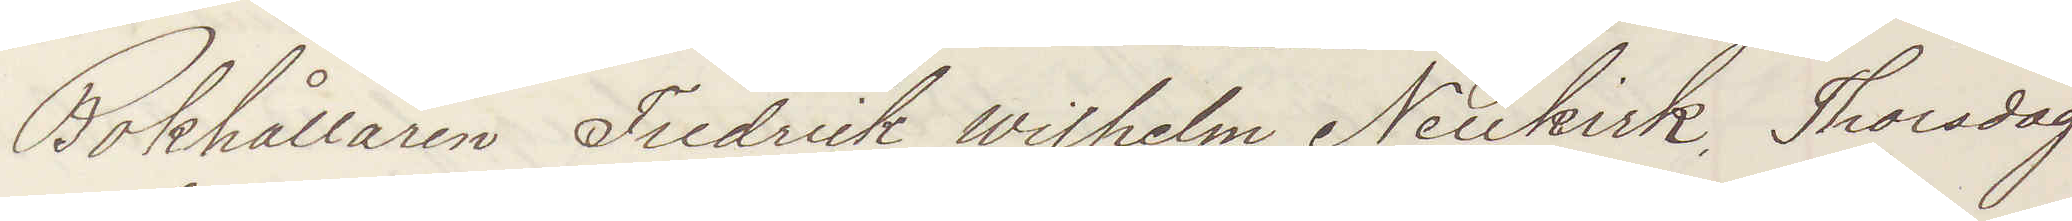Bokhållaren Fredrick Wilhelm Neukirk. Thorsdag
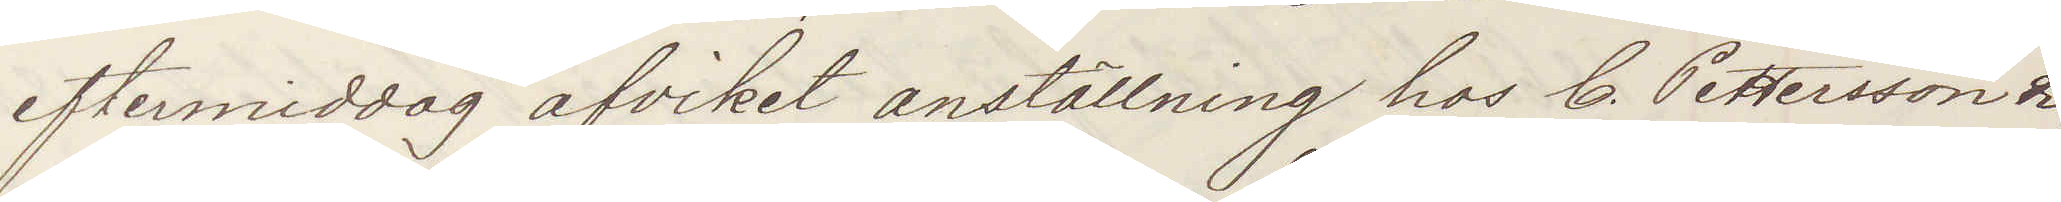eftermiddag afvikit anställning hos C. Pettersson &
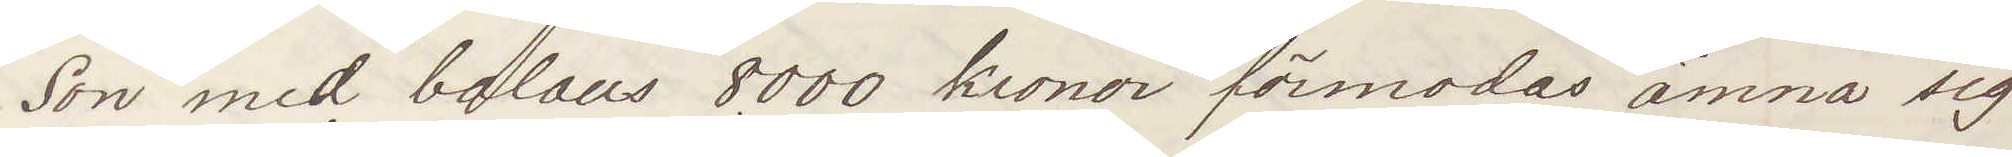Son med balans 8.000 kronor förmodas ämna sig
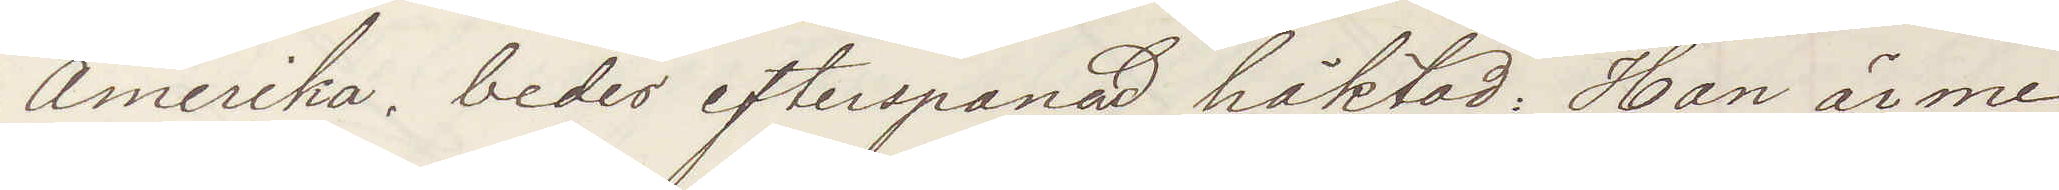Amerika, bedes efterspanad häktad: Han är me¬
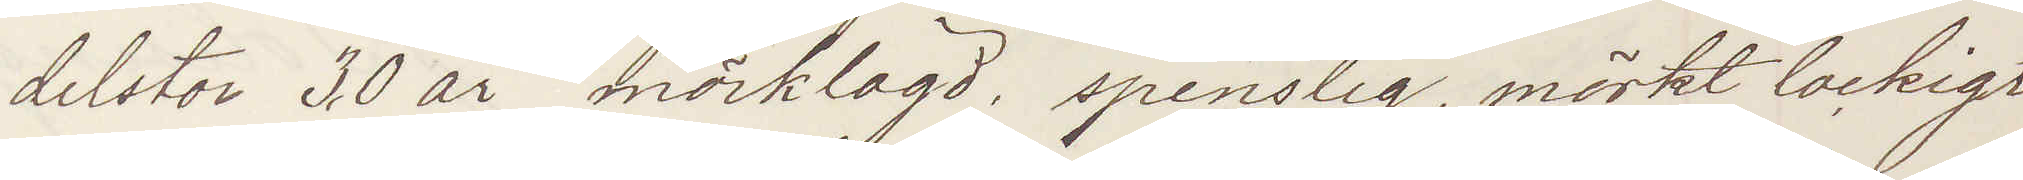delstor 30 är mörklagd, spenslig, mörkt lockigt
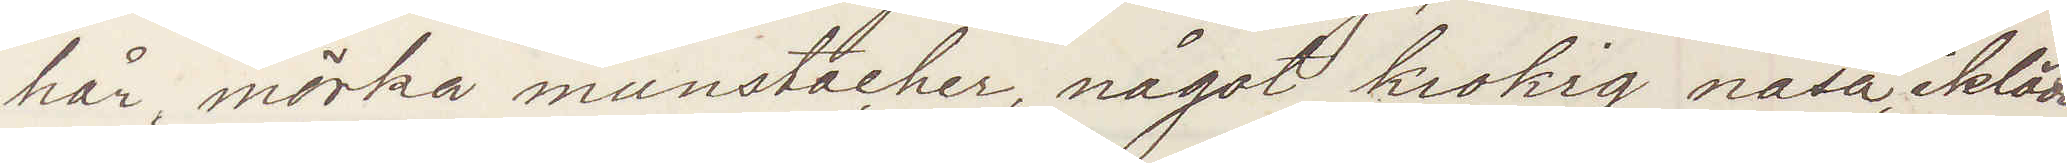hår, mörka munstacher, något krokig näsa, iklädd
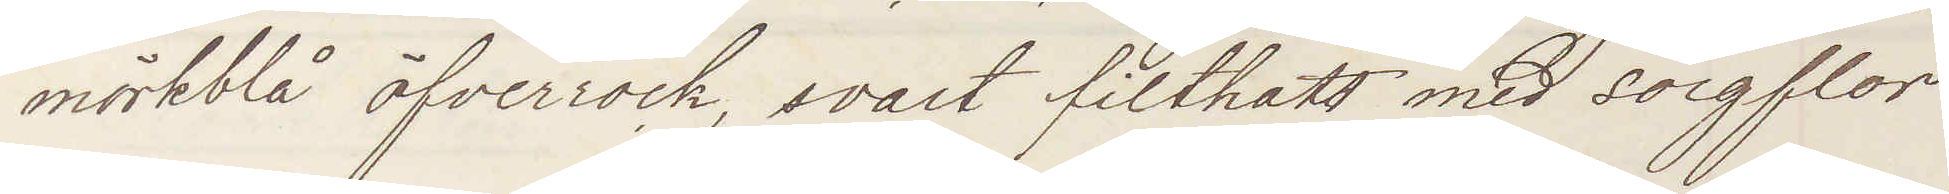mörkblå öfverrock, svart filthatt med sorgflor.
